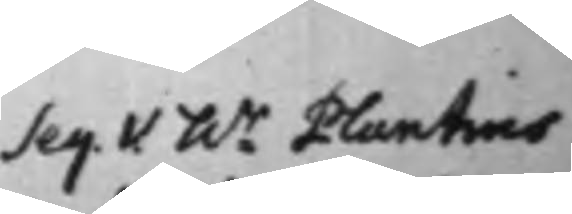Seq. V. hr Plantins
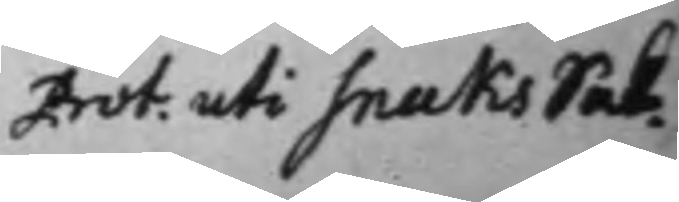Prot. uti snaks Sak.
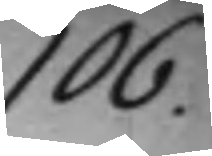106.
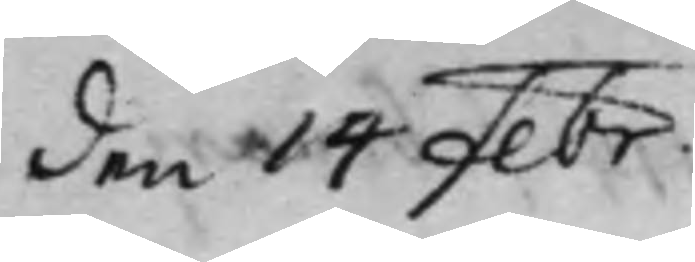den 14 Febr.
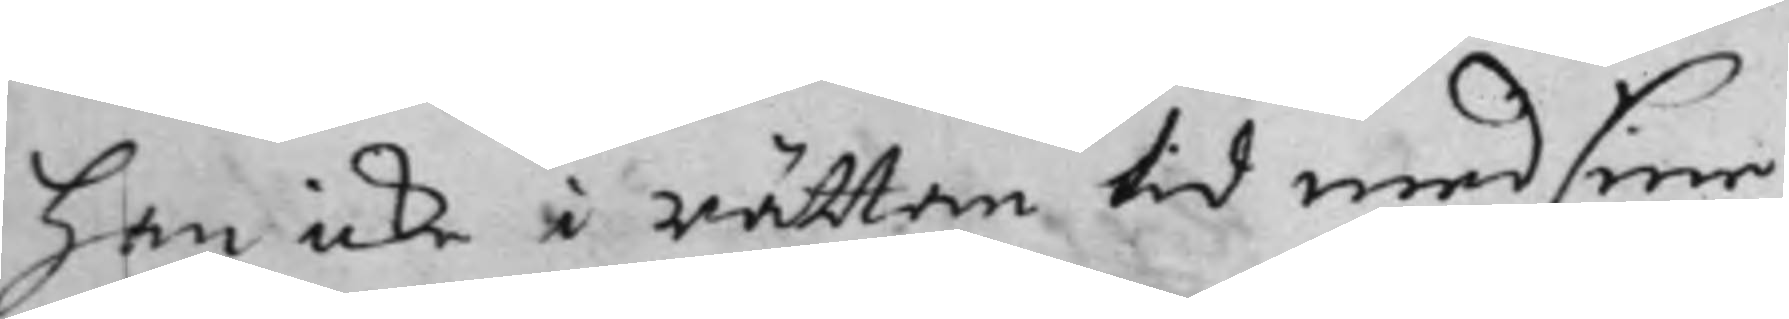han icke i rättan tid med  sine
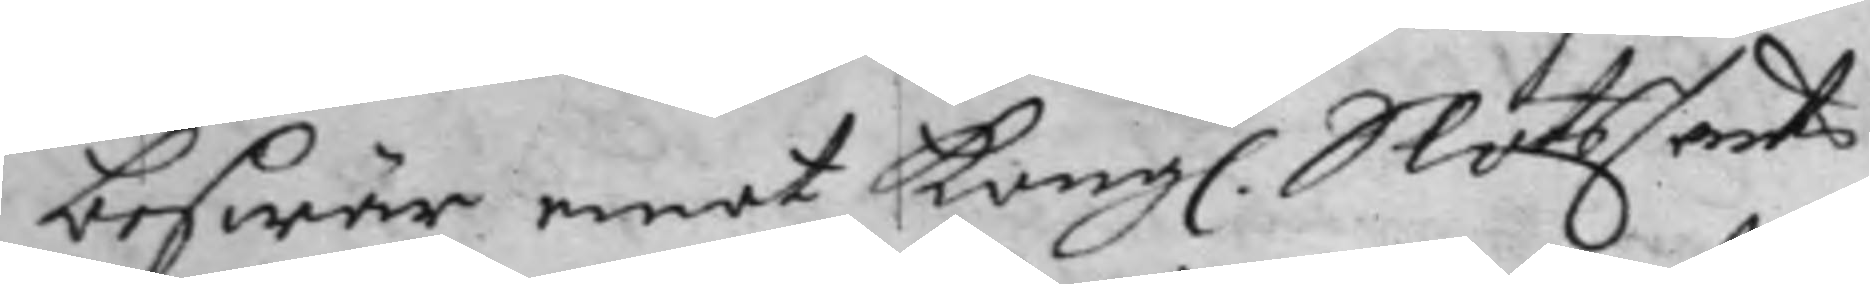beswär emot Kongl. SlotsCants¬
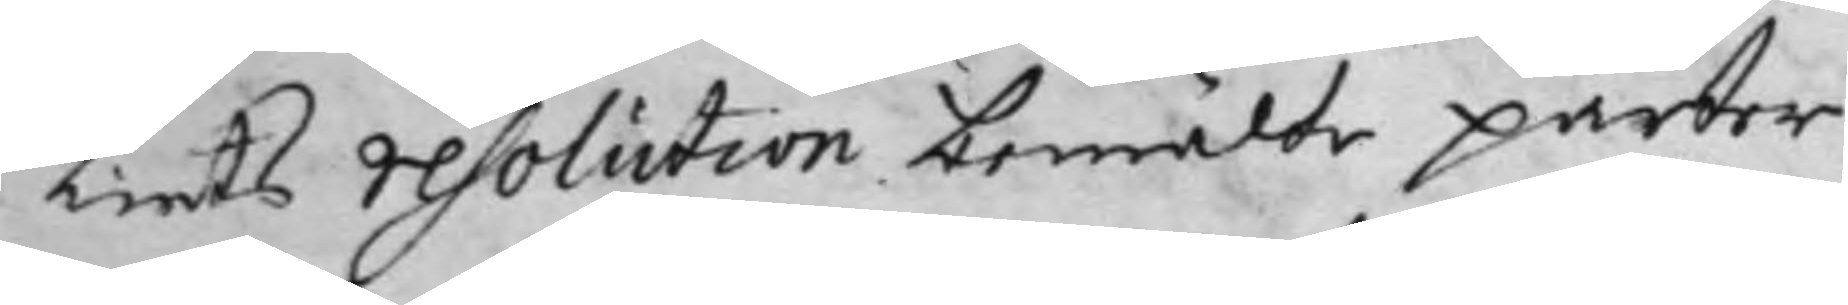liets resolution bemälde parter
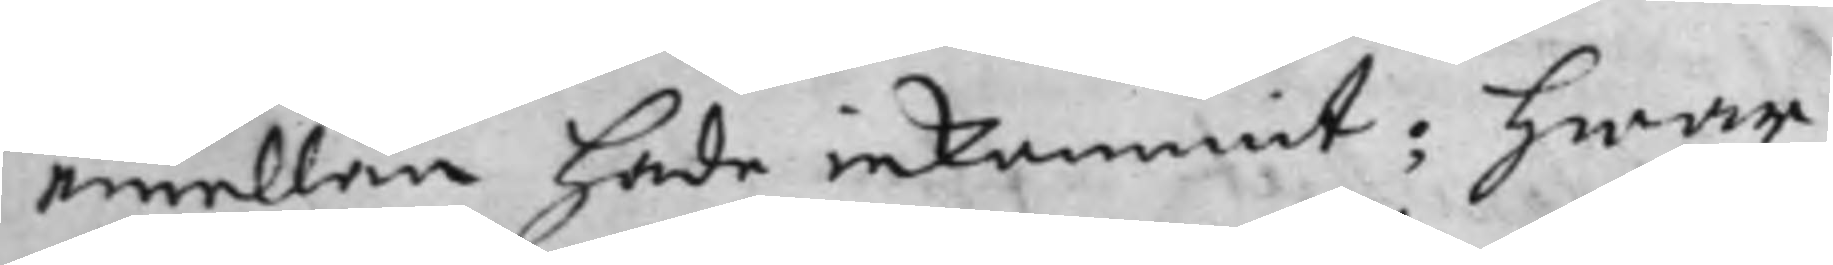emellan hade inkommit; hwar¬
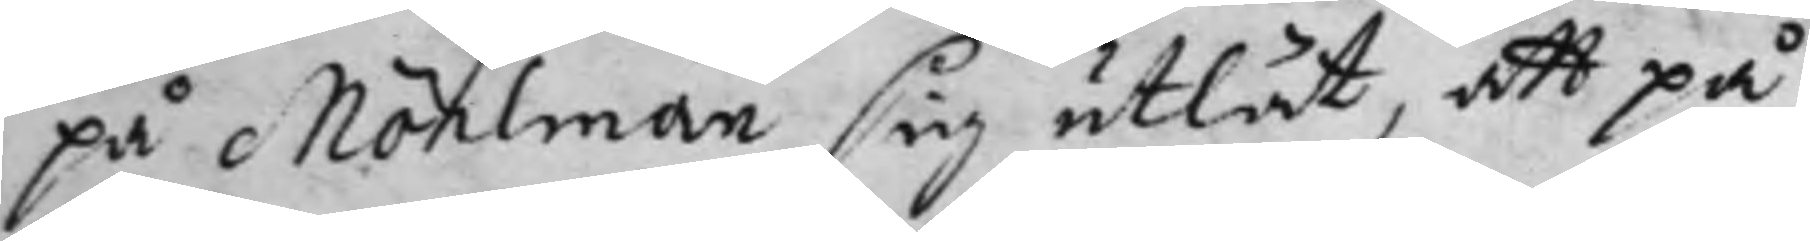på Möhlman sig utlät, att på
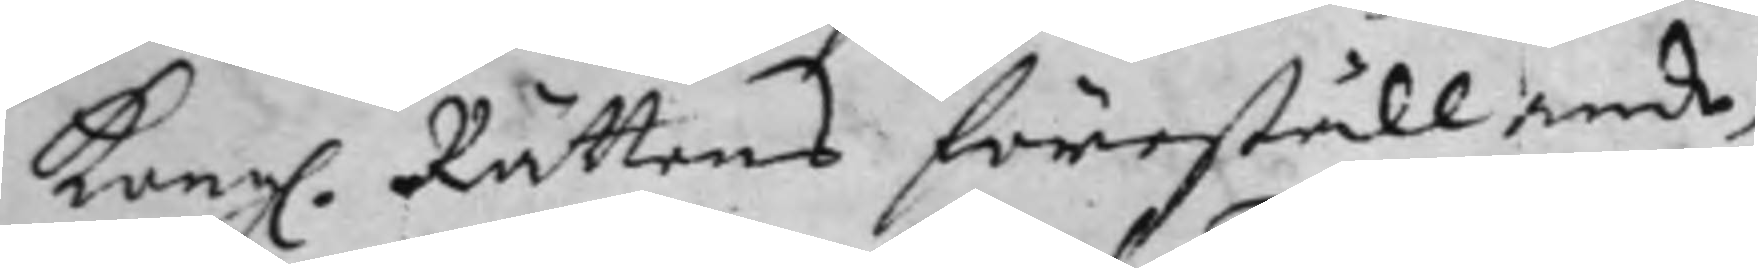Kongl. Rättens föreställande,
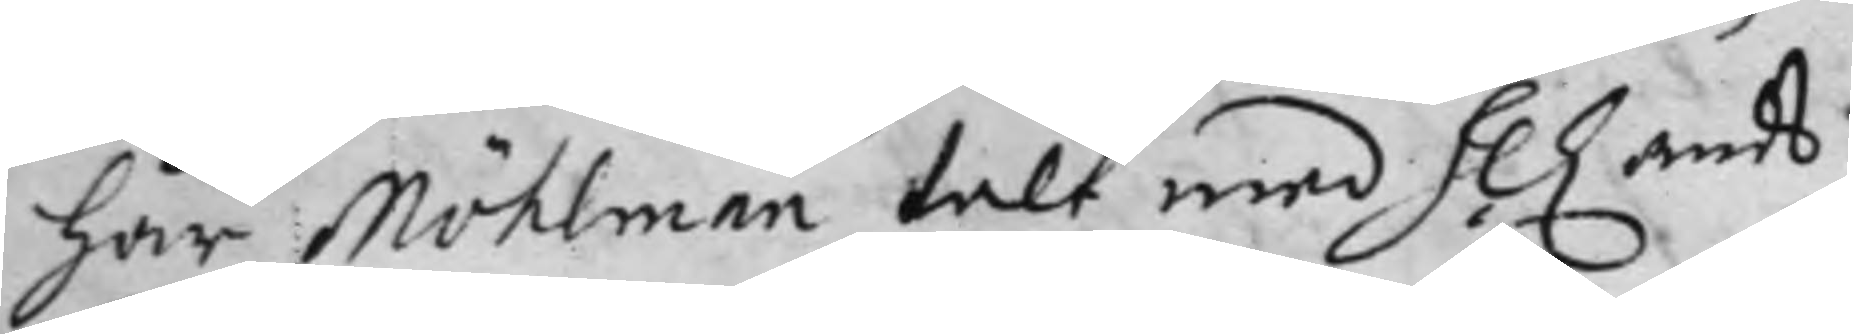har Möhlman talt med H. Lands¬
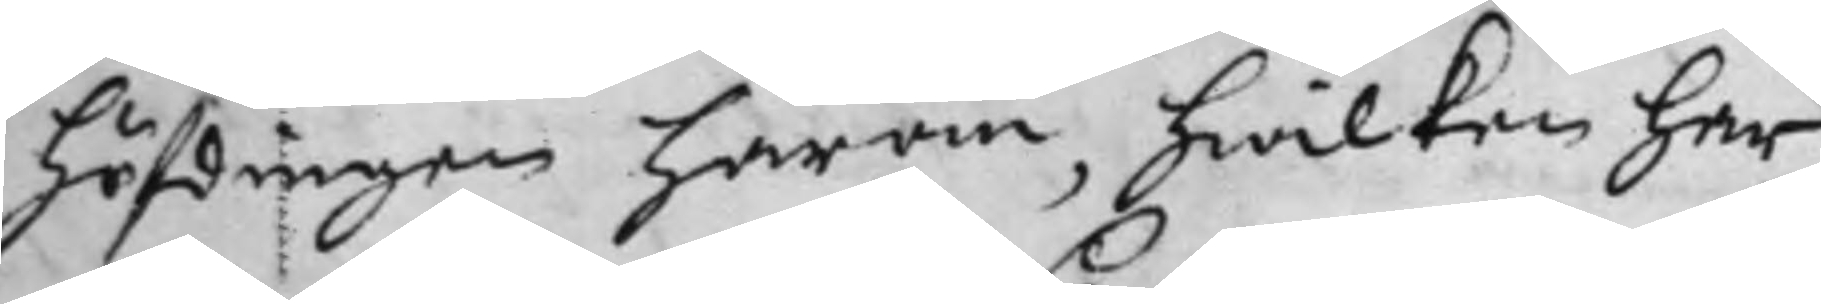höfdingen härom, hwilken har
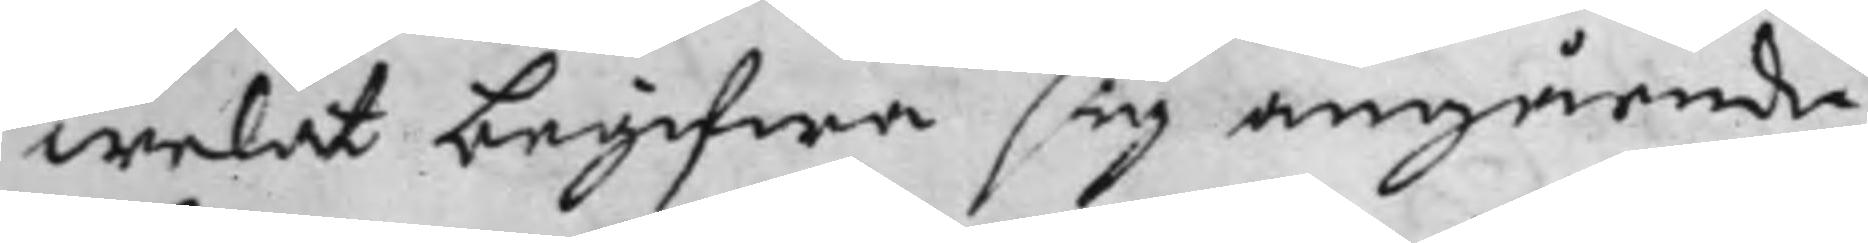welat begifwa sig angående
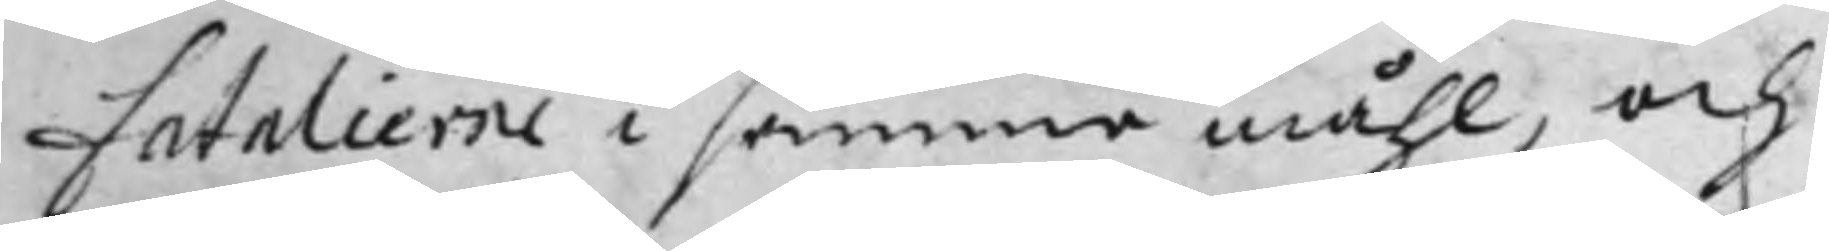fatalierne i samma måhl, och
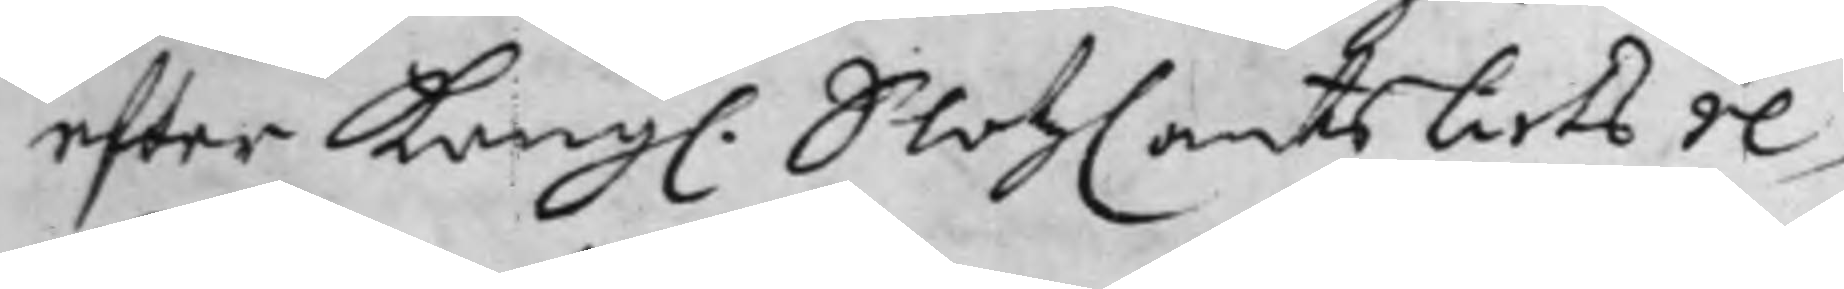efter Kongl. SlotzCantsliets re¬
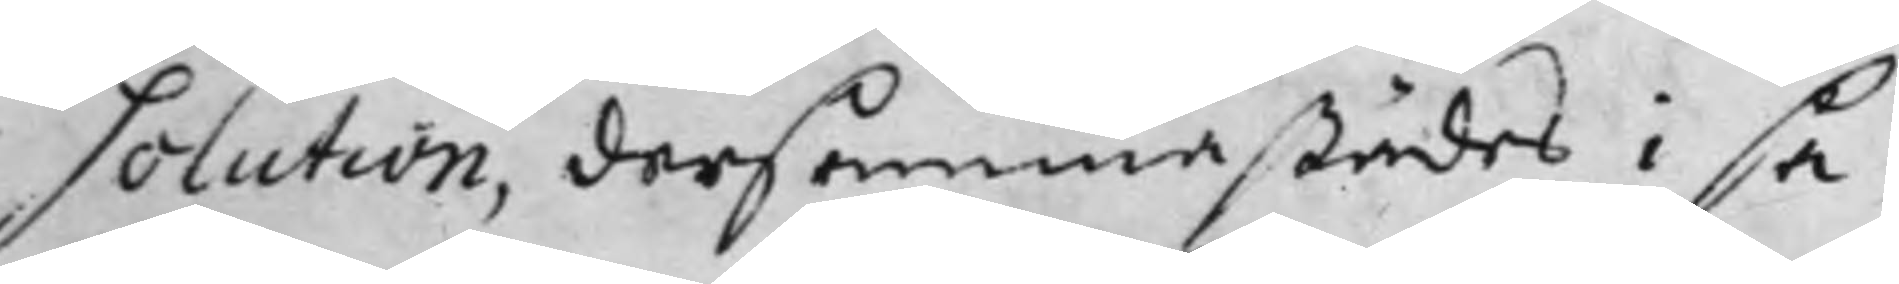solution, dersammastädes i sa¬
